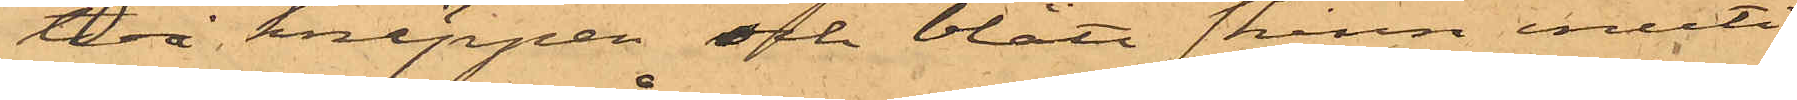två knäppen och blått skinn inuti
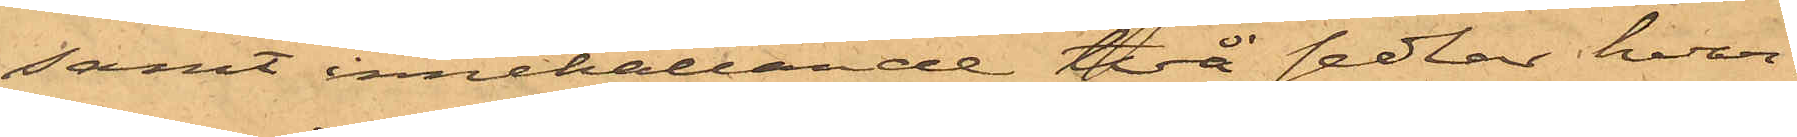samt innehållande två sedlar, hvar¬
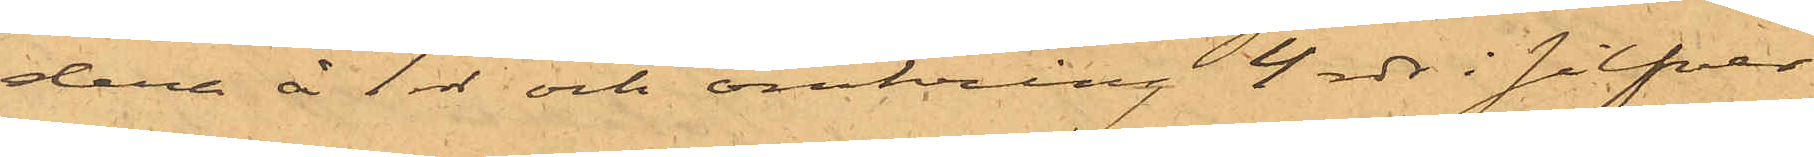dere å 1 rdr och omkring 4 rdr i silfver
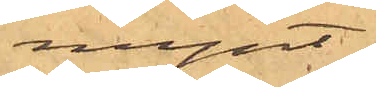mynt;
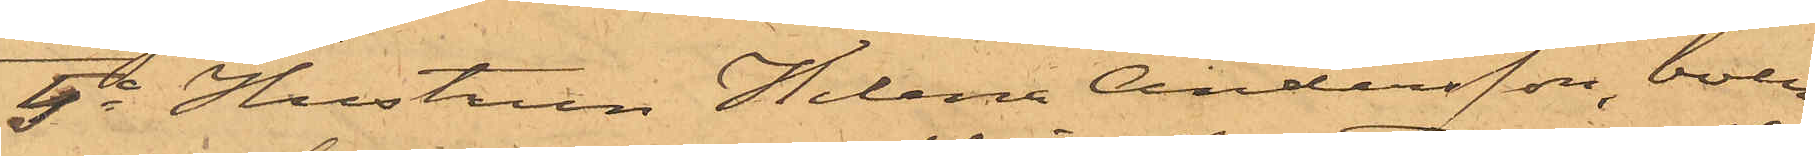5o Hustrun Helena Andersson, boen¬
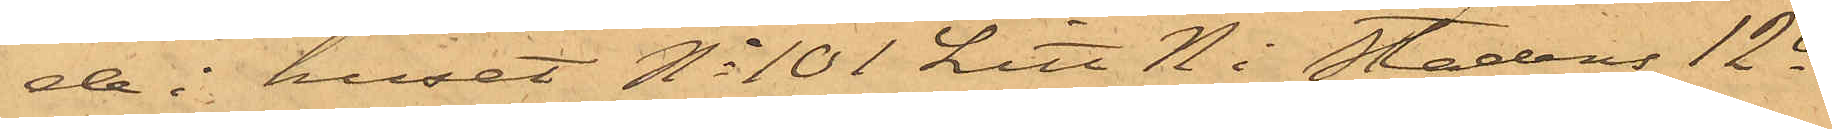de i huset No 101 Litt N i Stadens 12te
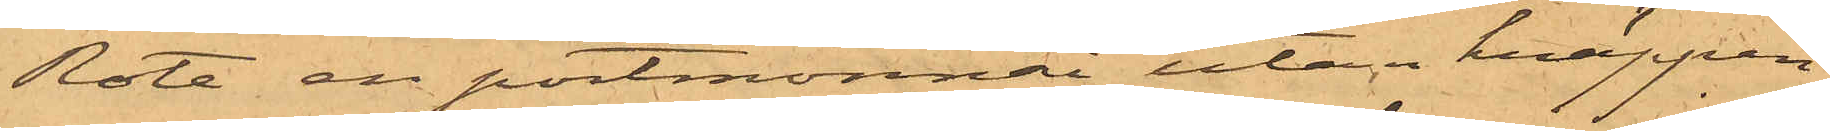Rote, en portmonnai utan knäppen
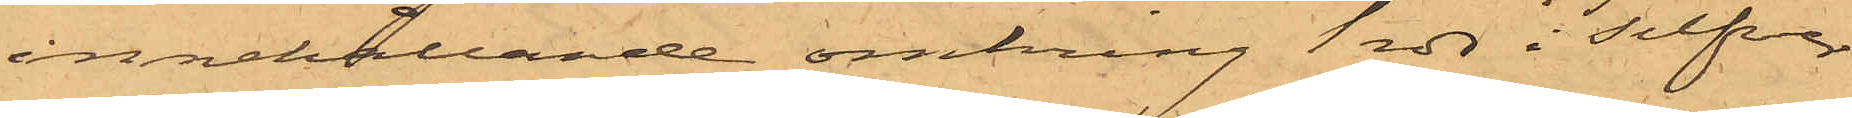innehållande omkring 1 rdr i silfver
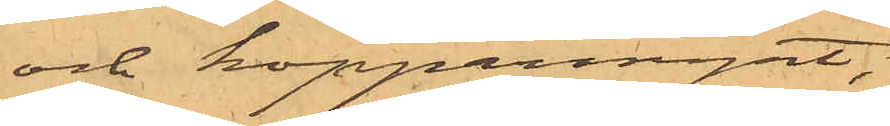och kopparmynt;
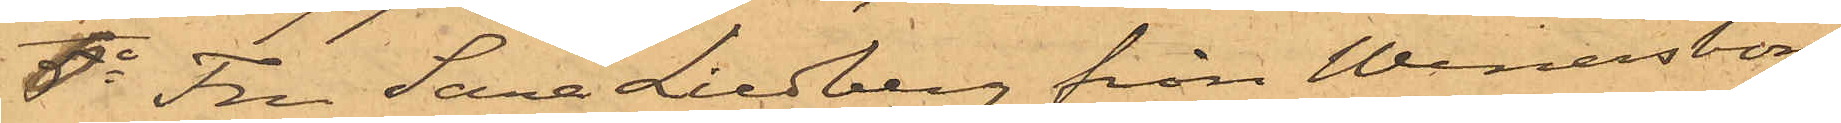6o Fru Sara Liedberg från Wenersborg
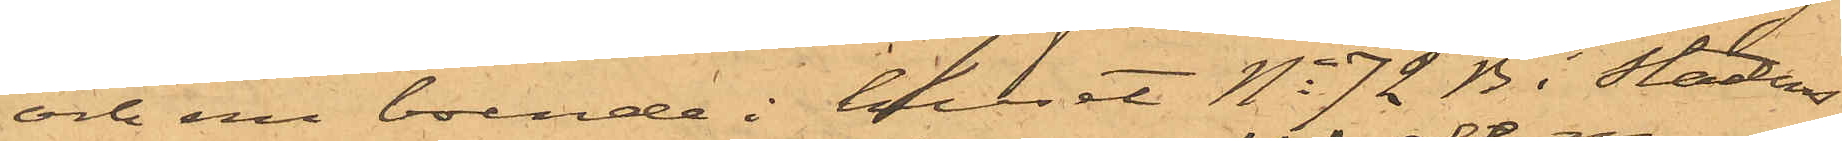och nu boende i huset No 72 B i Stadens
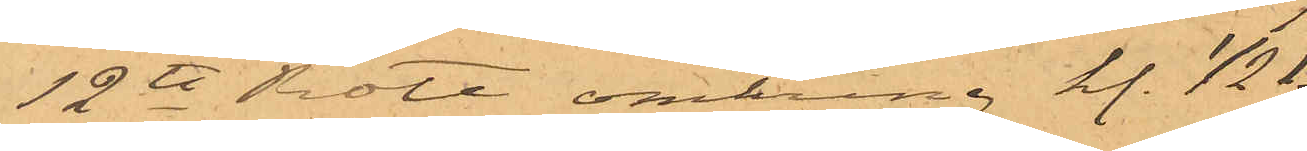12te Rote omkring kl. 1/2 1
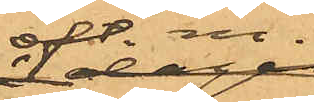eft. m.
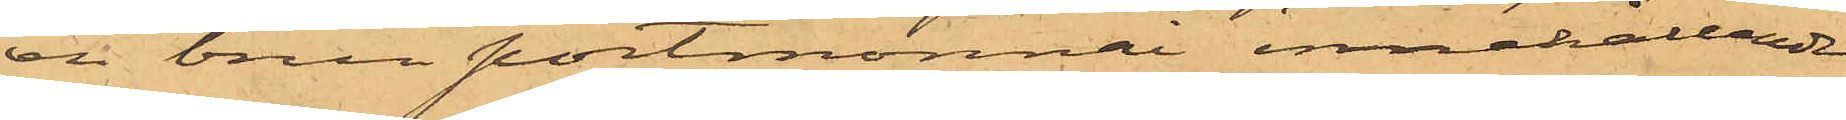en brun portmonnai innehållande
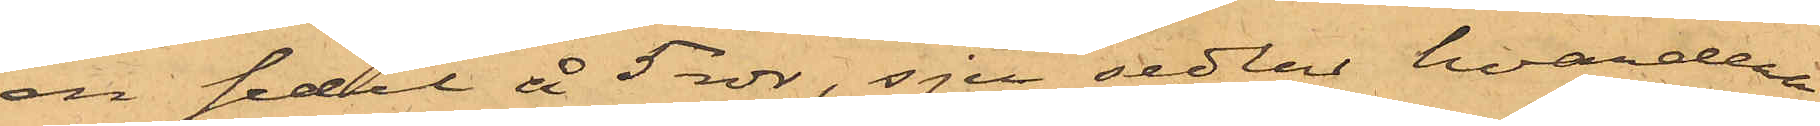en sedel å 5 rdr, sju sedlar hvardera
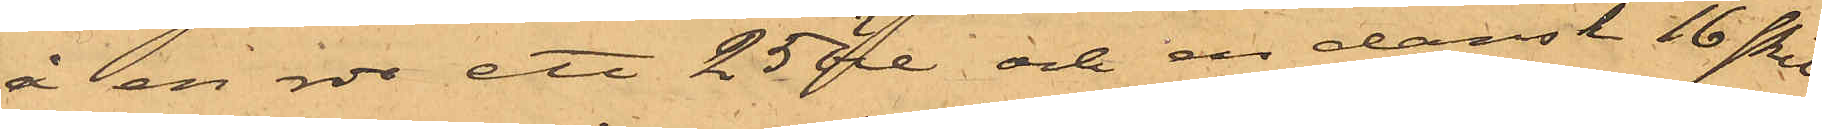å en rdr ett 25 öre och en dansk 16 skil¬
